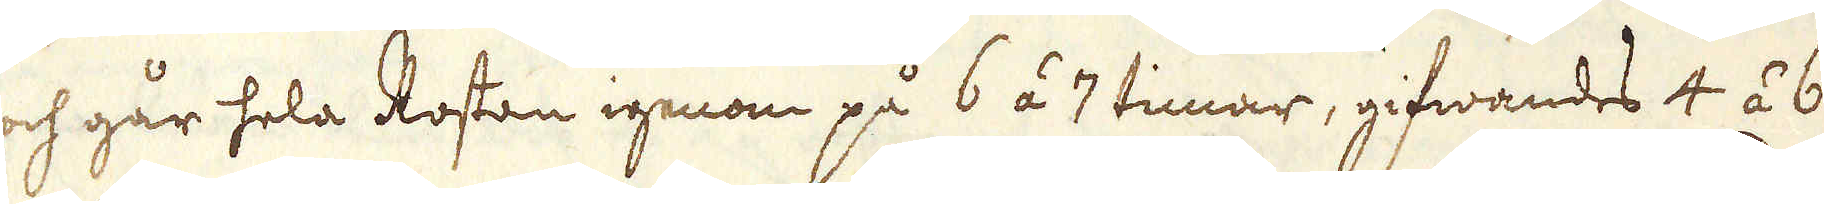och går hela Rostan igenom på 6 á 7 timar, gifwandes 4 á 6
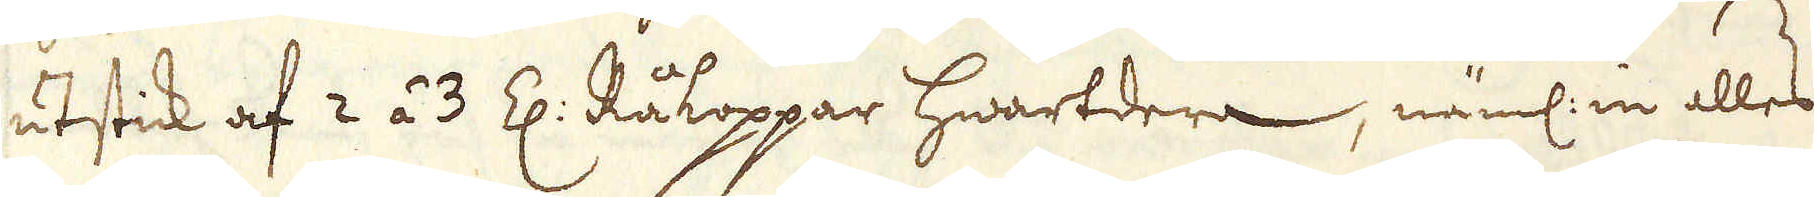utstick af 2 á 3 Z: Råkoppar hwartdera, näml: in alles
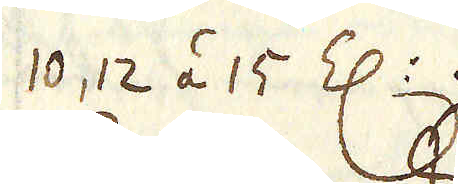10, 12 á 15 Z:. 
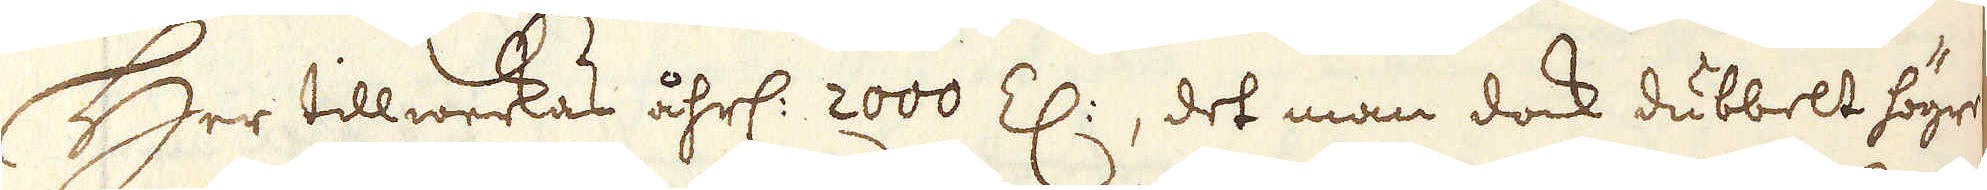Her tillwerkas åhrl: 2000 Z:, det man dock dubbelt högre
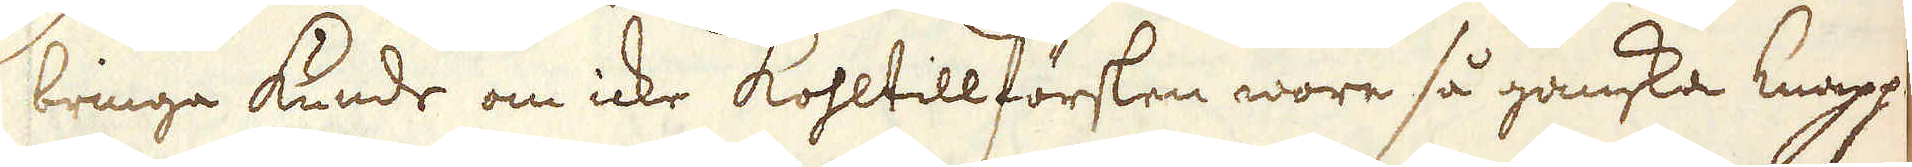bringa kunde om icke Kohltillförslen wore så ganska knapp.
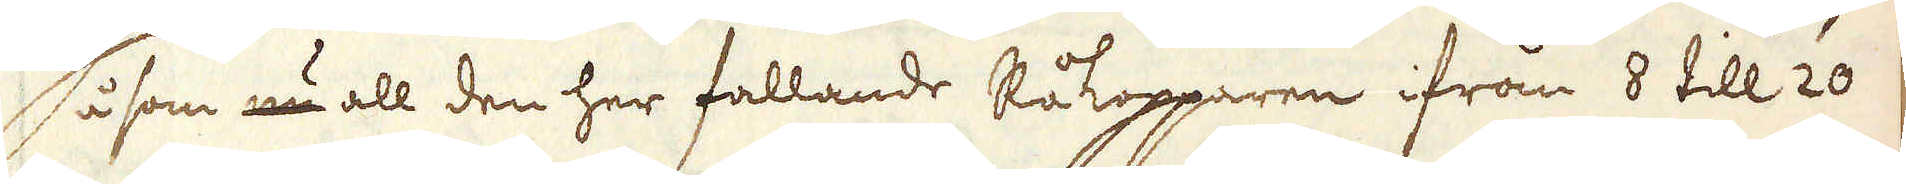Så som nu all den her fallande Råkopparen ifrån 8 till 20
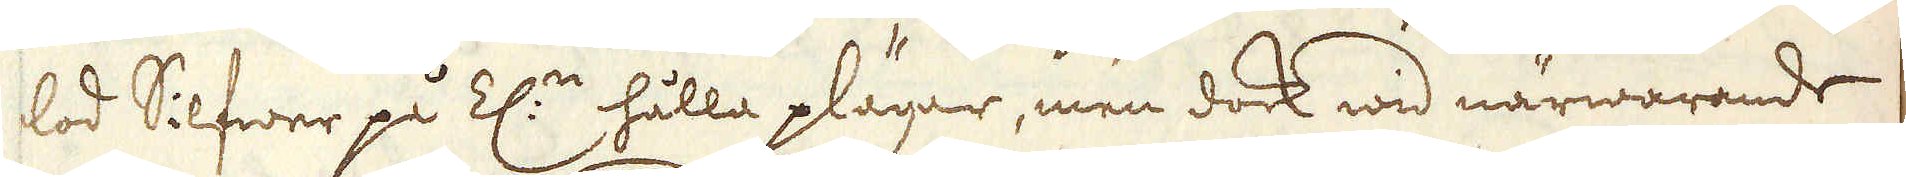lod Silfwer på Z:n hålla plägar, men dock wid närwarande
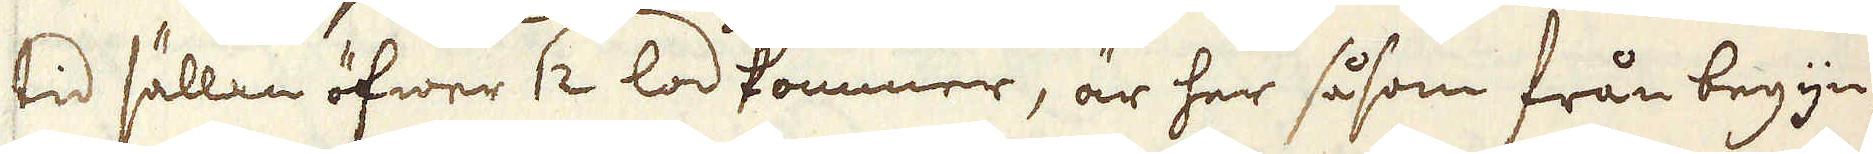tid sällan öfwer 12 lod kommer, är her såsom från begyn-
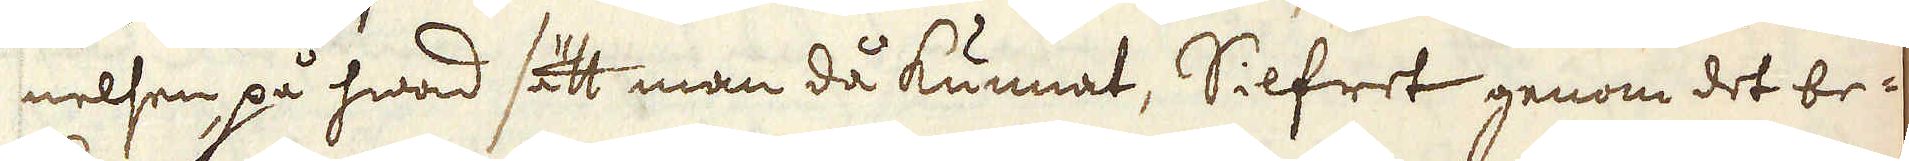nelsen, på hwad sätt man då kunnat, Silfret genom det be-
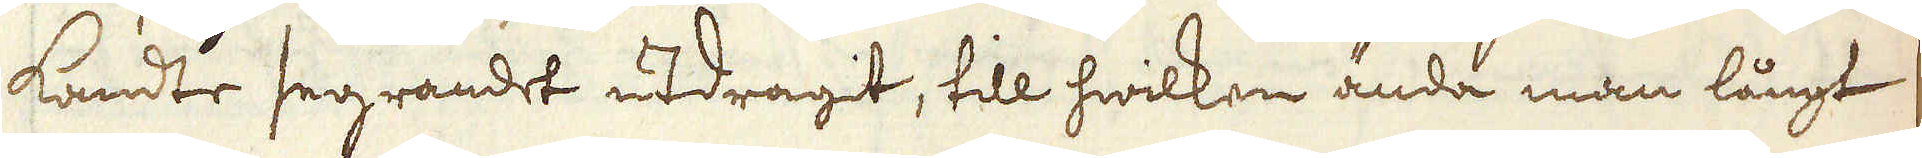kandte segrandet utdragit, till hwilken ända man långt
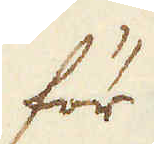för
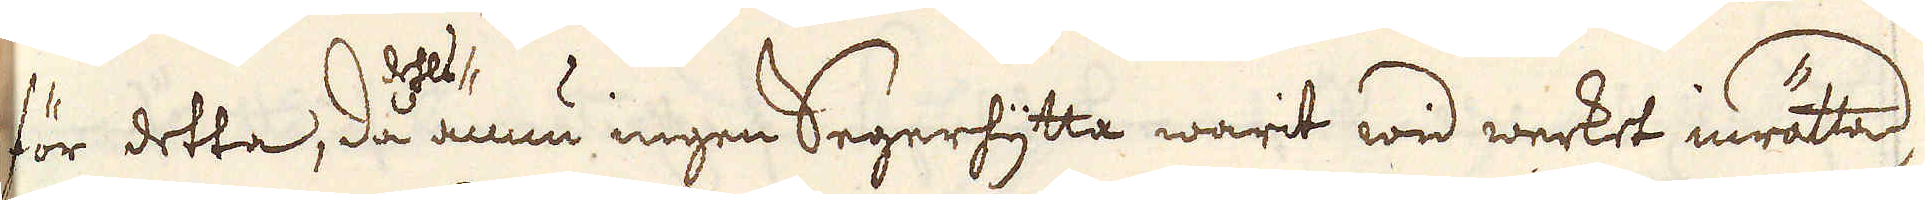för detta, då dehls ännu ingen Segerhytta warit wid werket inrättad,
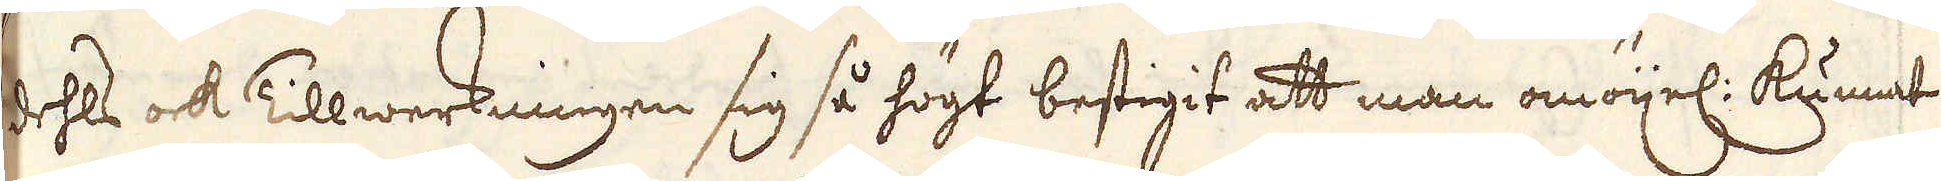dehls ock Tillwerkningen sig så högt bestigit att man omöijel: kunnat
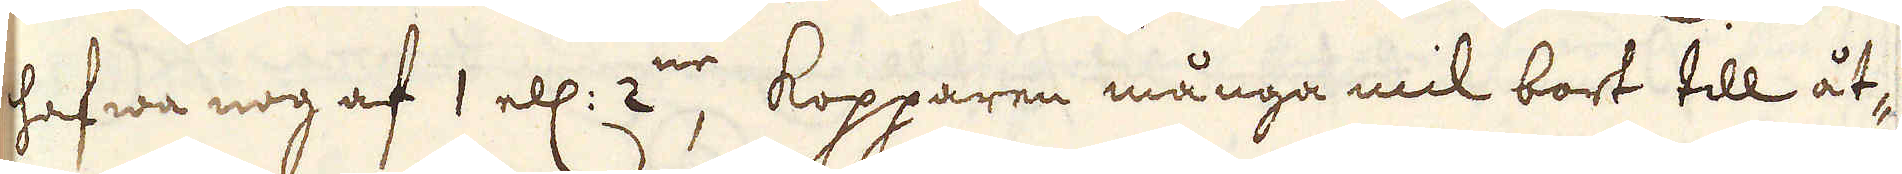hafwa nog af 1 ell: 2:ne, kopparen många mil bort till åt-
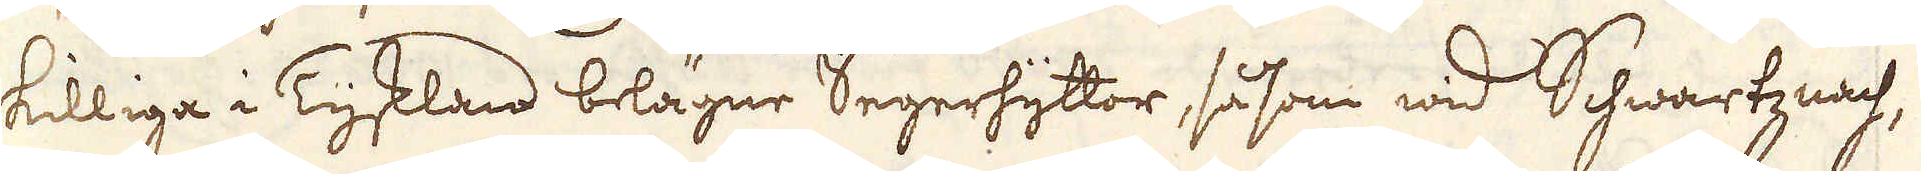skilliga i Tyskland belägne Segerhyttor, så som wid Schwartznach,
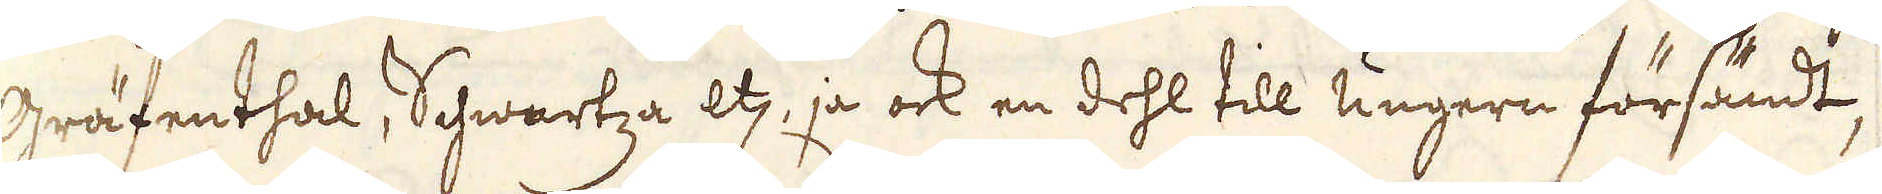Gräfenthal, Schwartza etc, ja ock en dehl till Ungern försändt,
